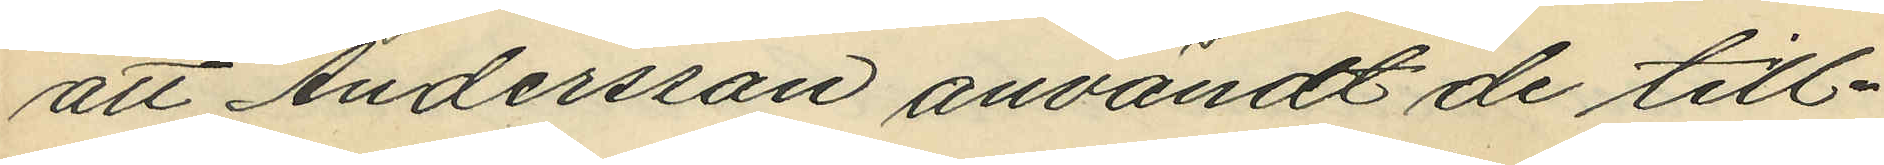att Anderssan användt de till¬
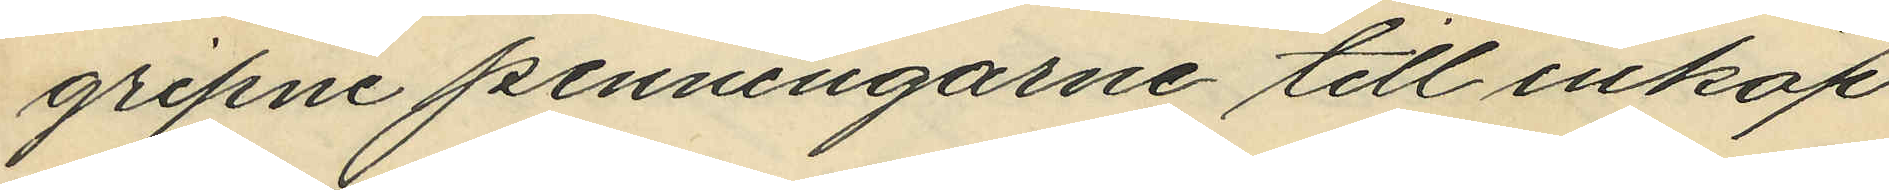gripne penningarne till inköp
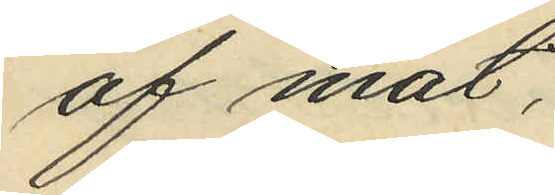af mat.
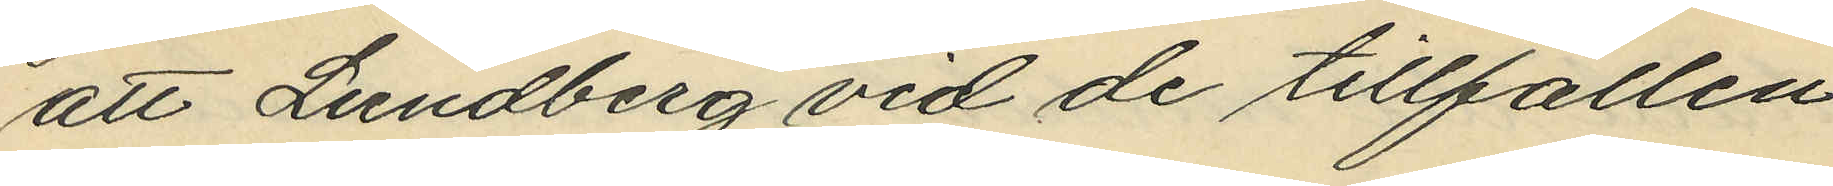att Lundberg vid de tillfällen
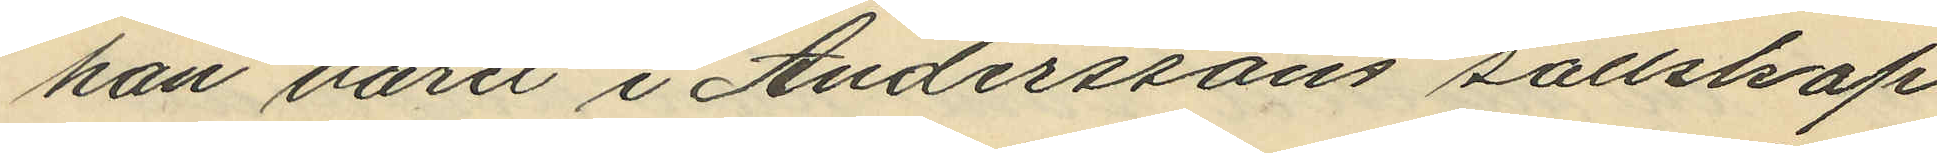han varit i Anderssons sällskap
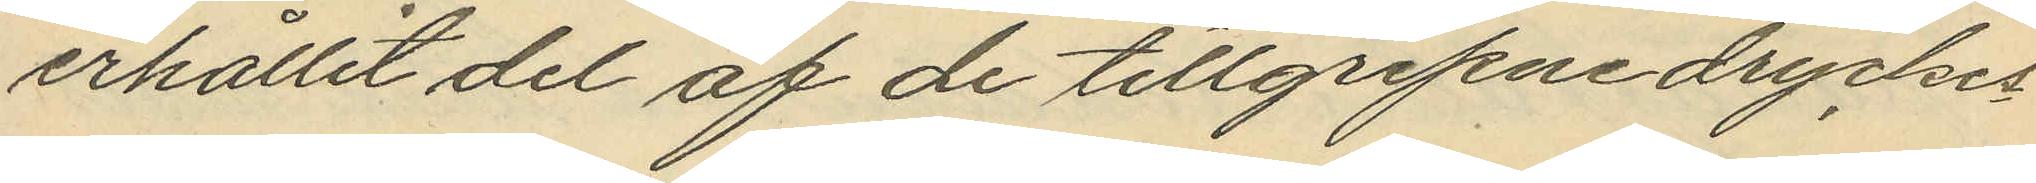erhållit del af de tillgripne dryckes¬
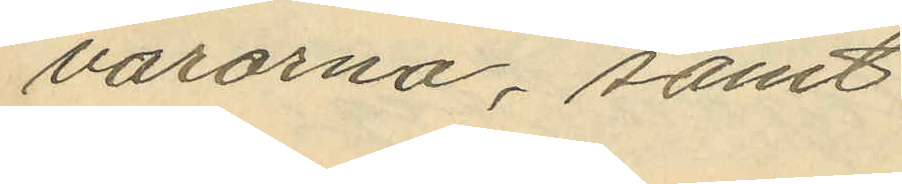varorna, samt
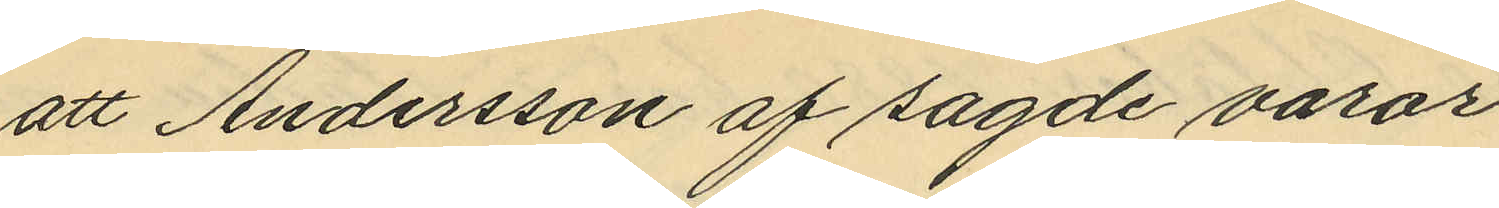att Andersson af sagde varor
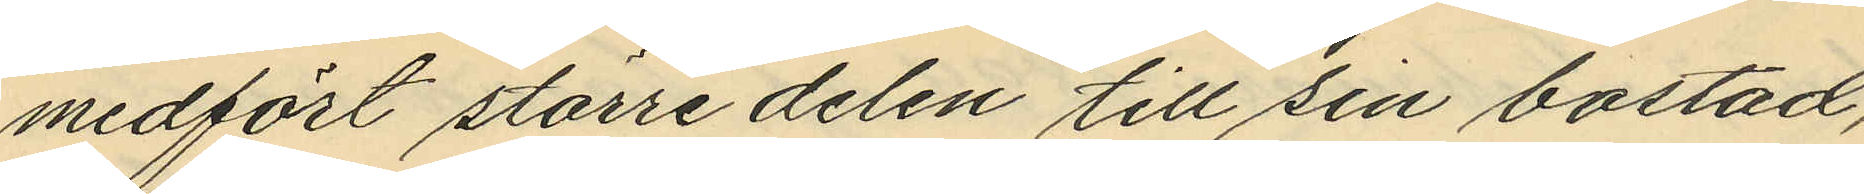medfört större delen till sin bostad,
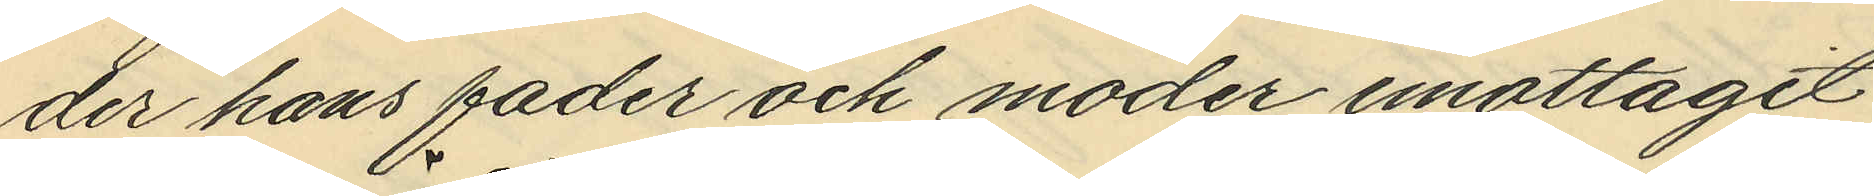der hans fader och moder emottagit
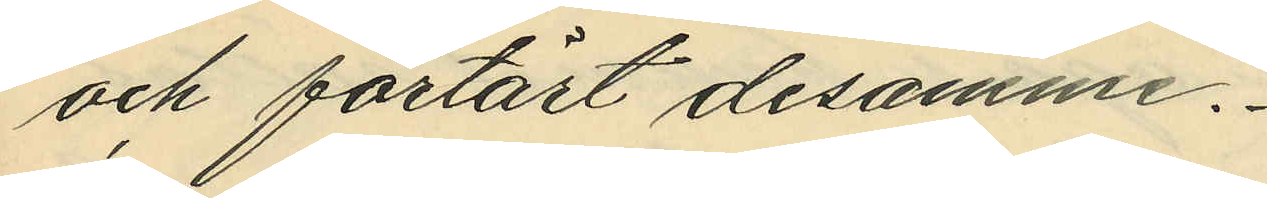och förtärt desamme.
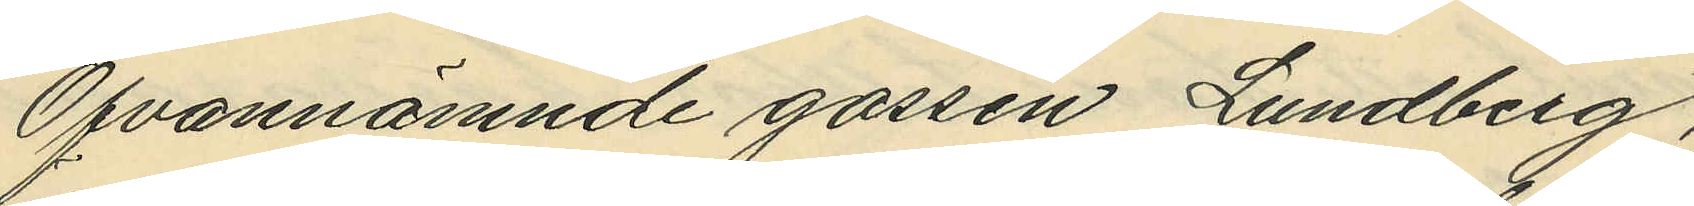Ofvannämnde gossen Lundberg
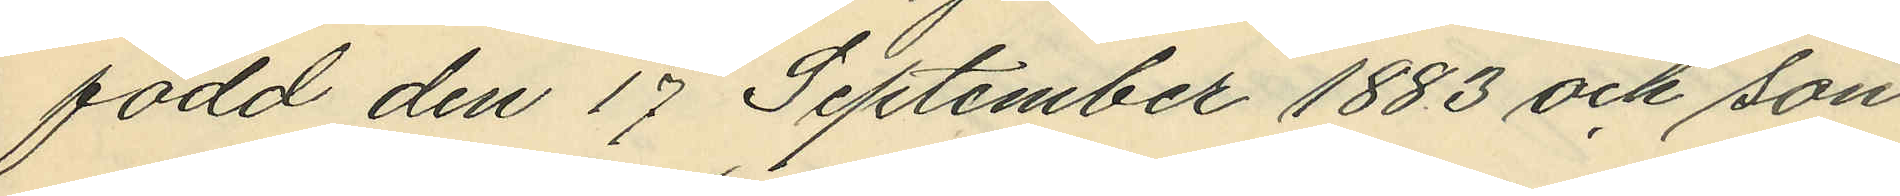född den 17 September 1883 och son
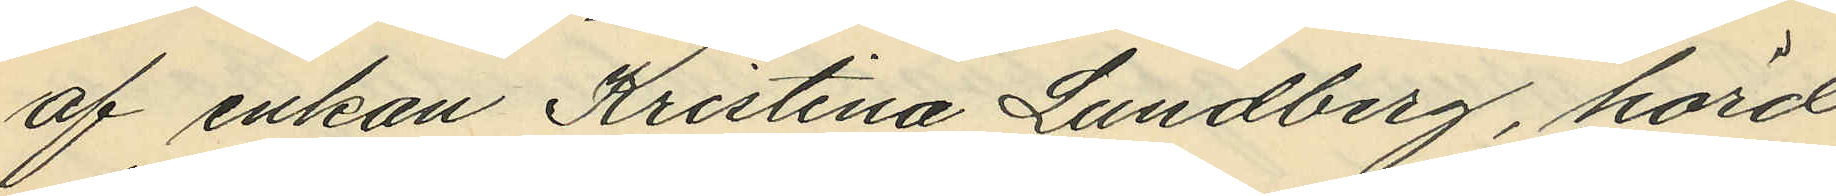af enkan Kristina Lundberg, hörd
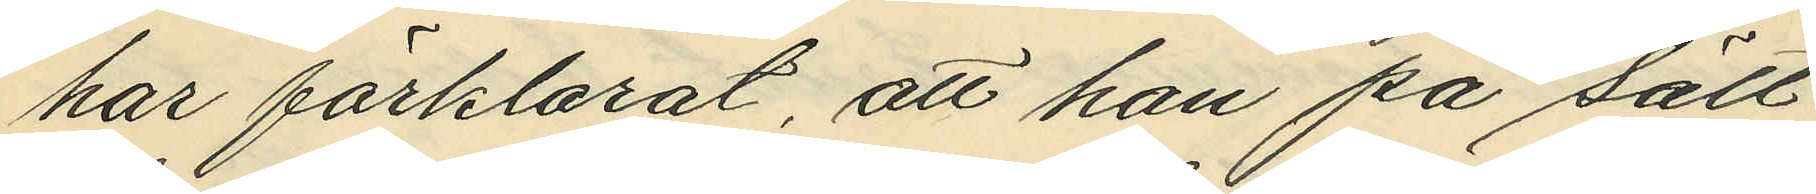har förklarat, att han på sätt
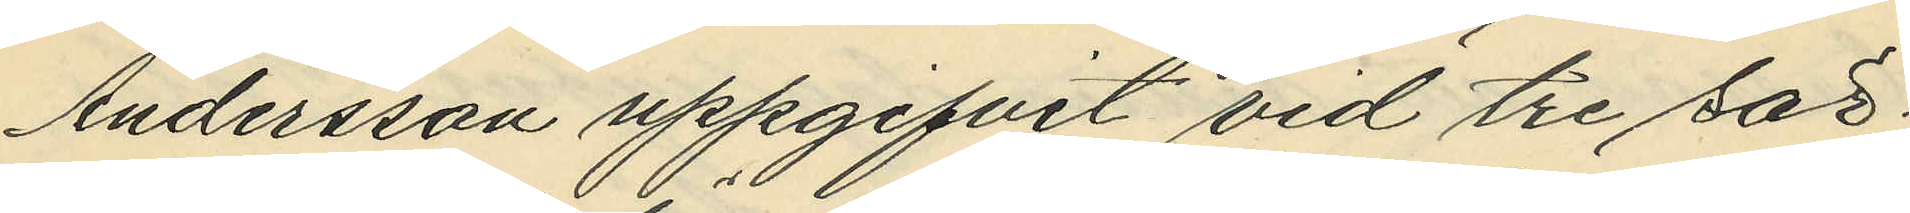Andersson uppgifvit vid tre sär¬
